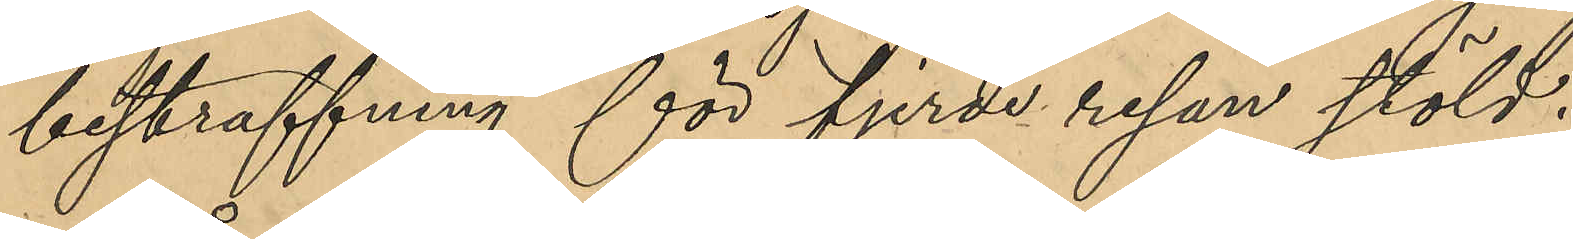bestraffning för fjerde resan stöld.
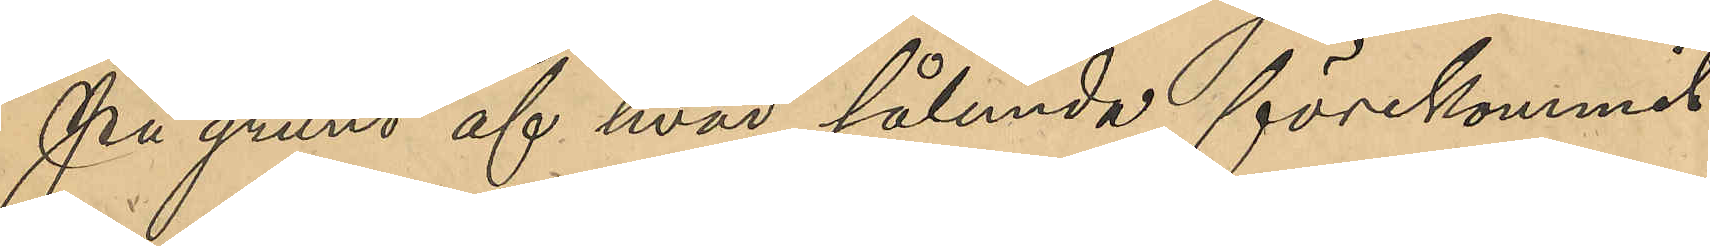På grund af hvad sålunda förekommit
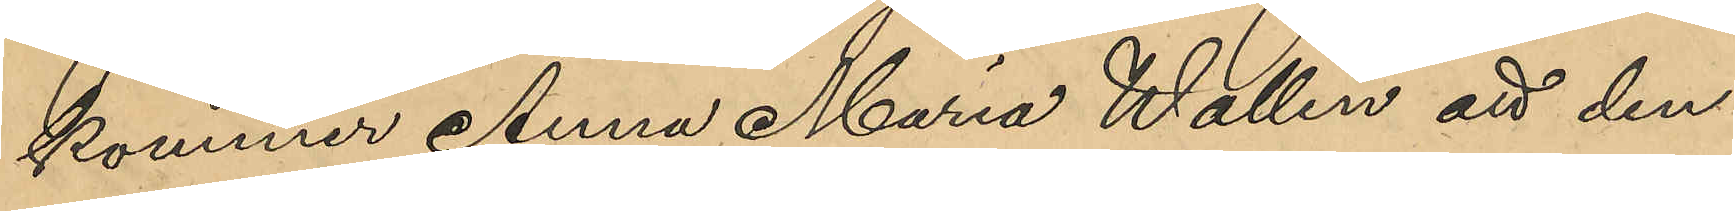kommer Anna Maria Wallin att den¬
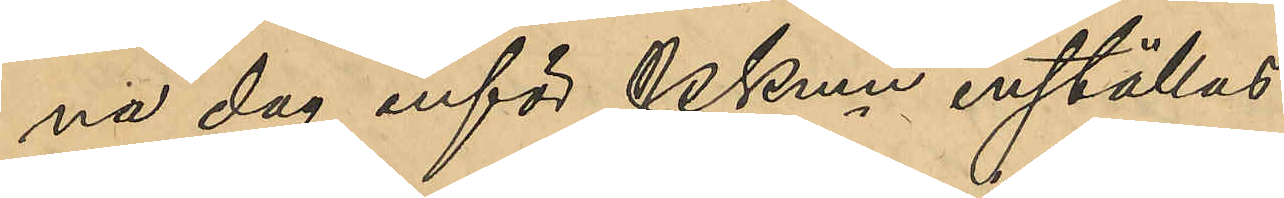na dag inför PKmn inställas.
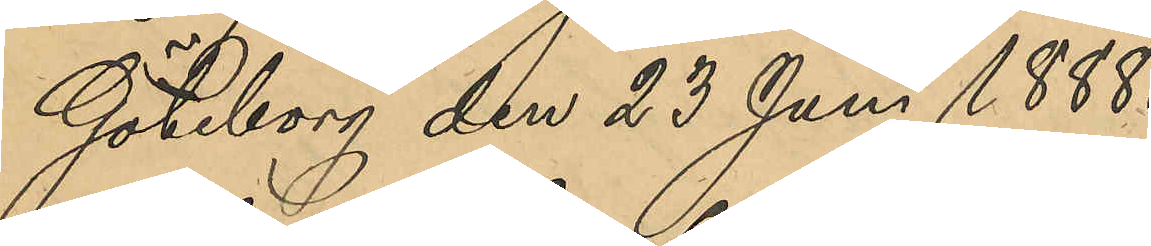Göteborg den 23 Juni 1888.
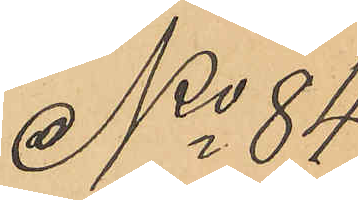No 84
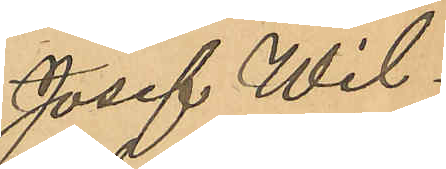Josef Wil¬
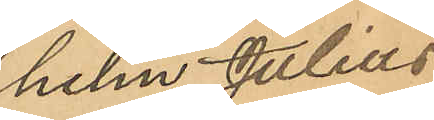helm Julius
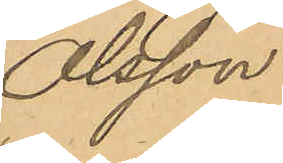Olsson.
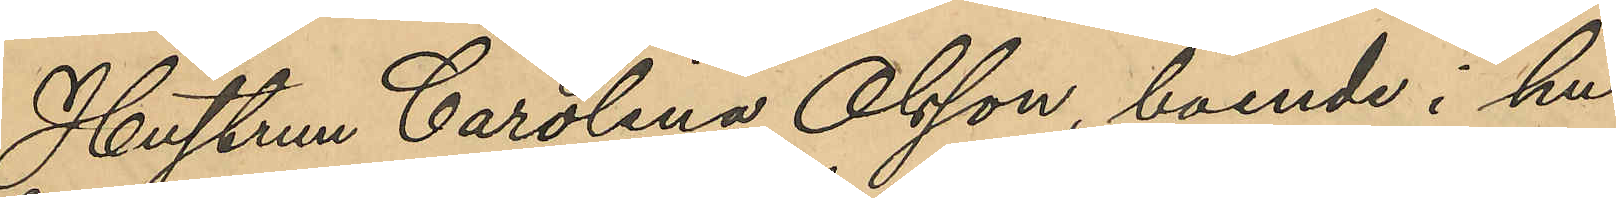Hustrun Carolina Olsson, boende i hu¬
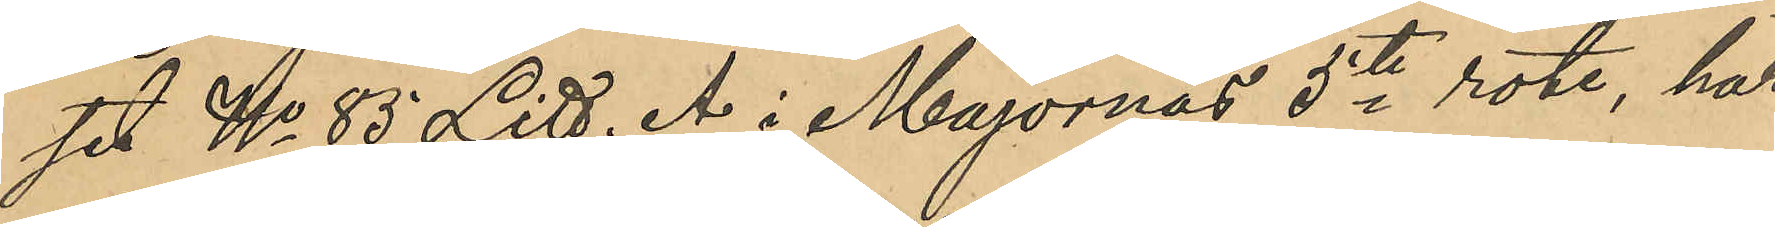set No 85 Litt. A i Majornas 5te rote, har
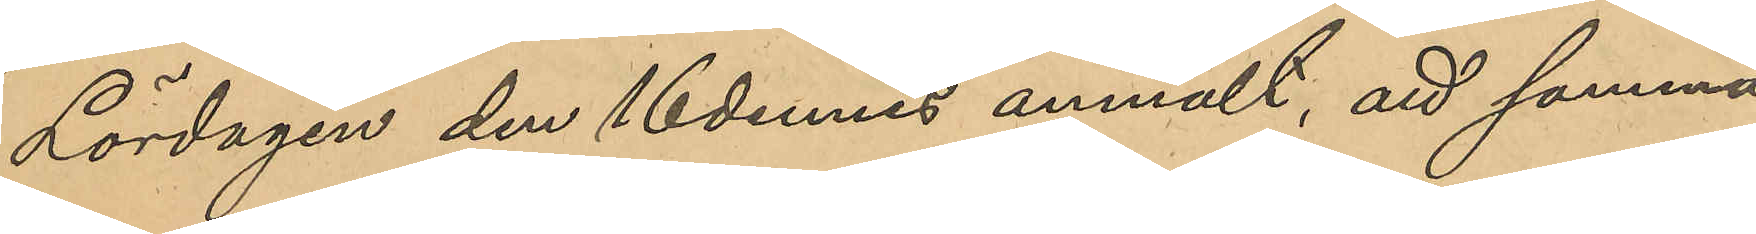Lördagen den 16 dennes anmält, att samma
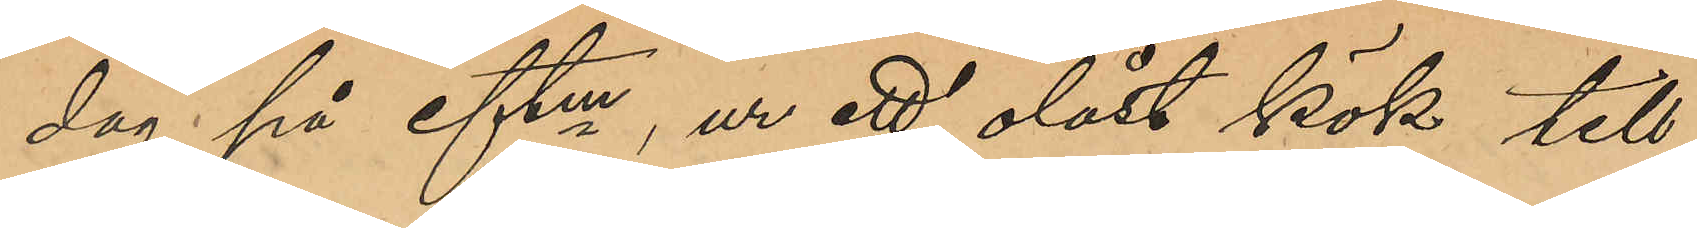dag på eftm,ur ett olåst kök till
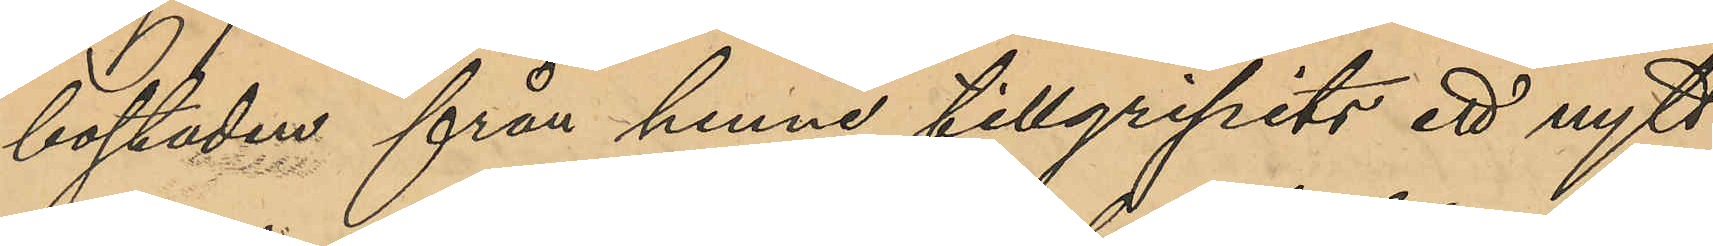bostaden från henne tillgripits ett nytt
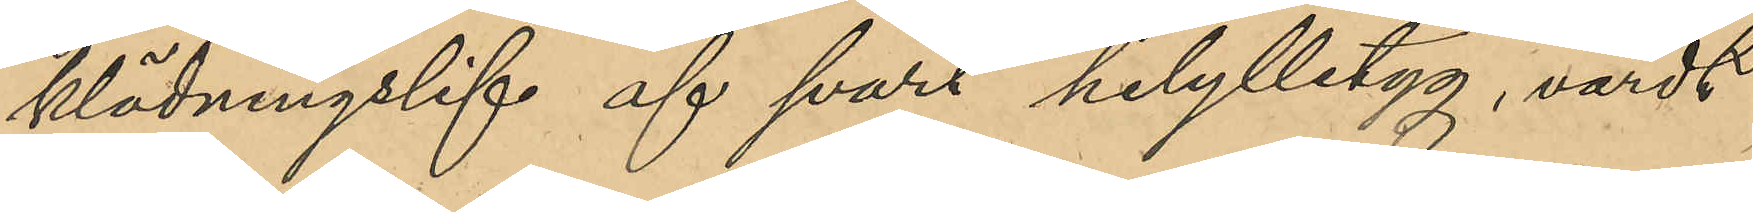klädningslif af svart helylletyg, värdt
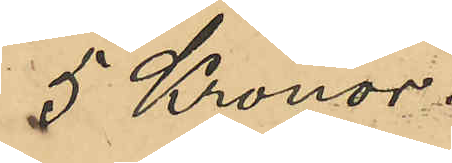5 Kronor.
